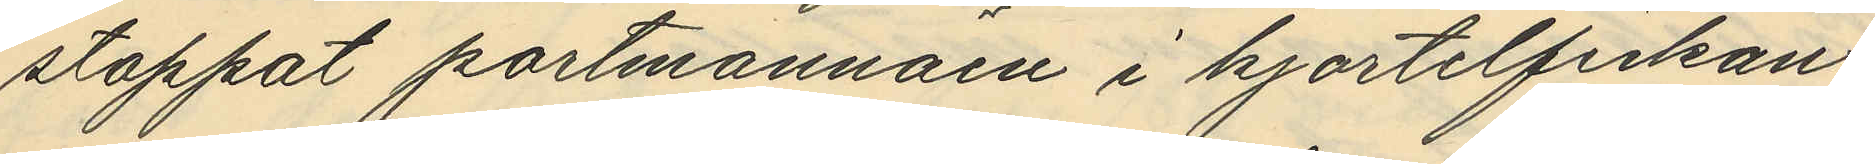stoppat portmonnäen i kjortelfickan,
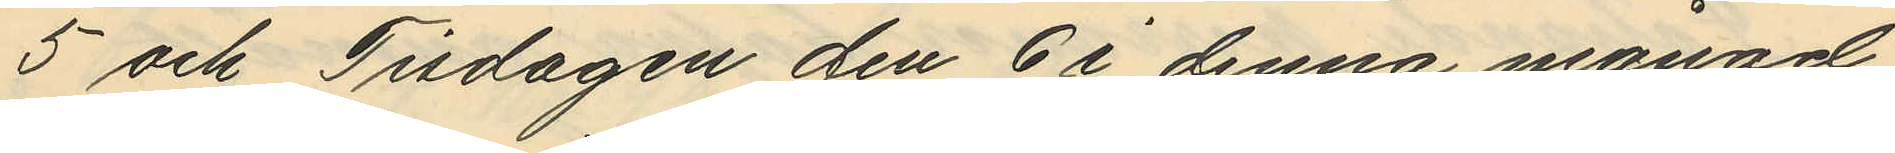5 och Tisdagen den 6 i denna månad
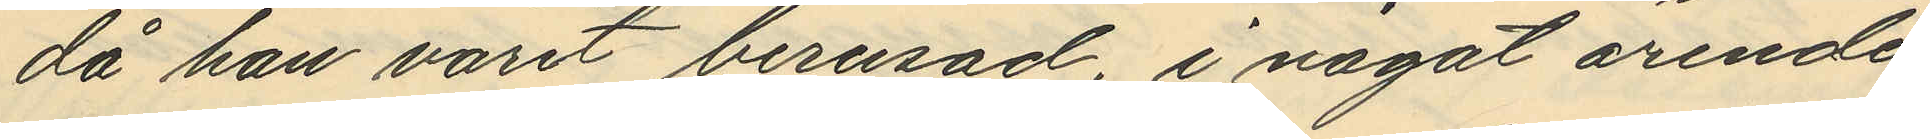då han varit berusad, i något ärende
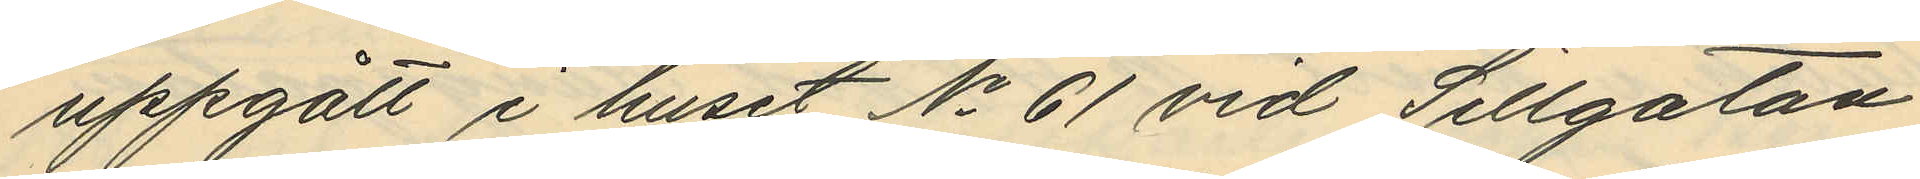uppgått i huset No 61 vid Sillgatan
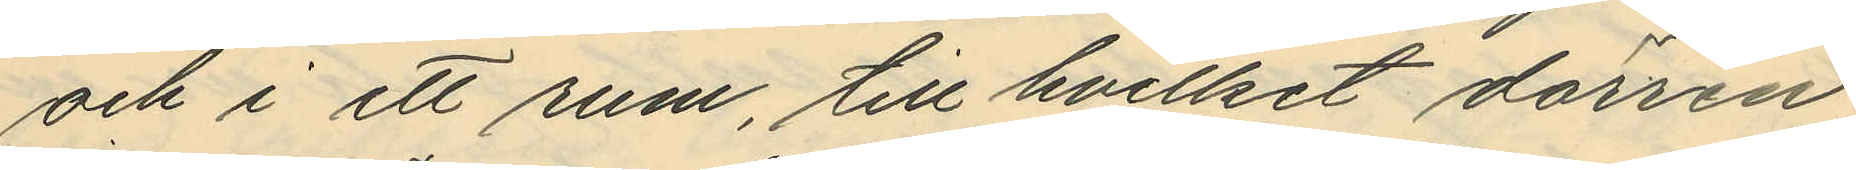och i ett rum, till hvilket dörren
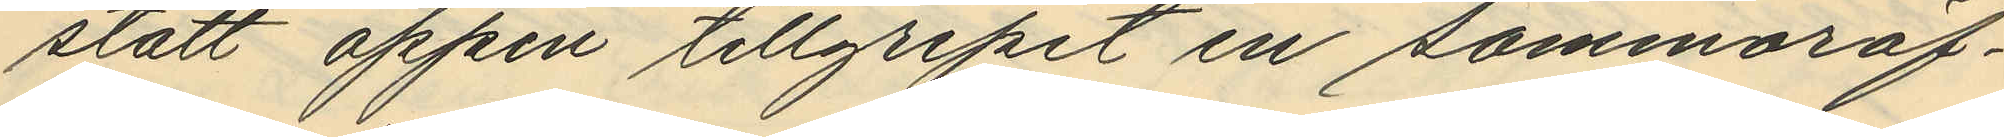stått öppen tillgripit en sommaröf¬
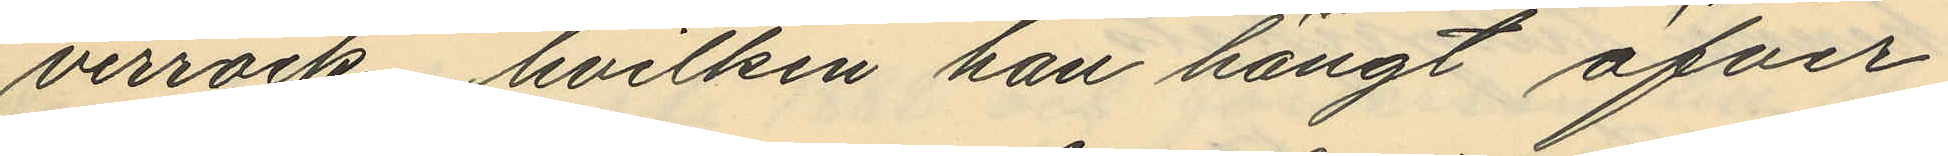verrock, hvilken han hängt öfver
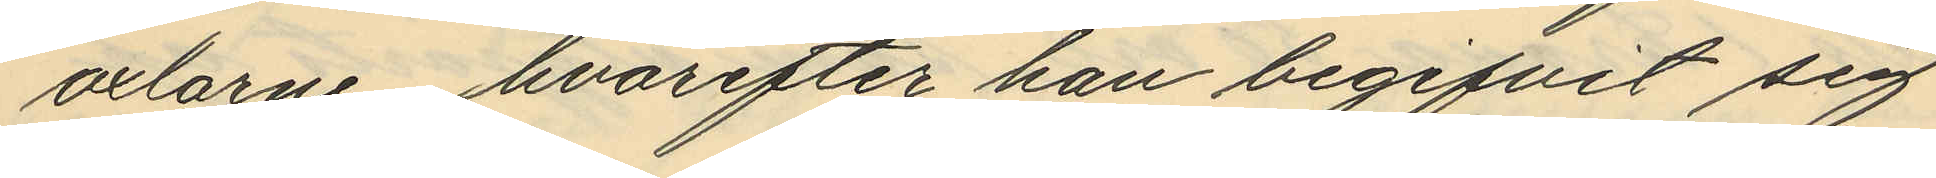axlarne, hvarefter han begifvit sig
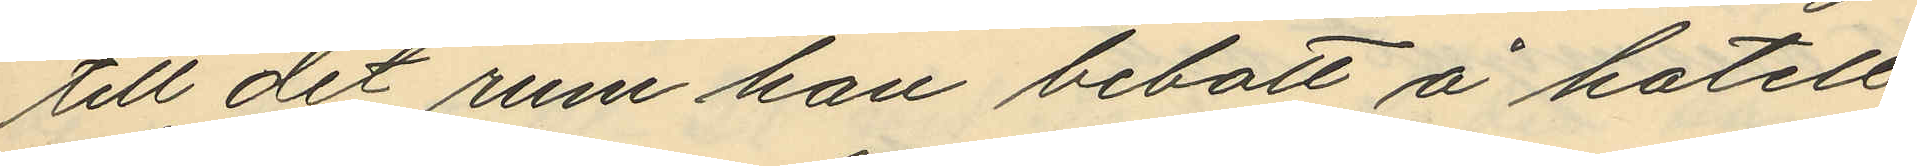till det rum han bebott å hotell
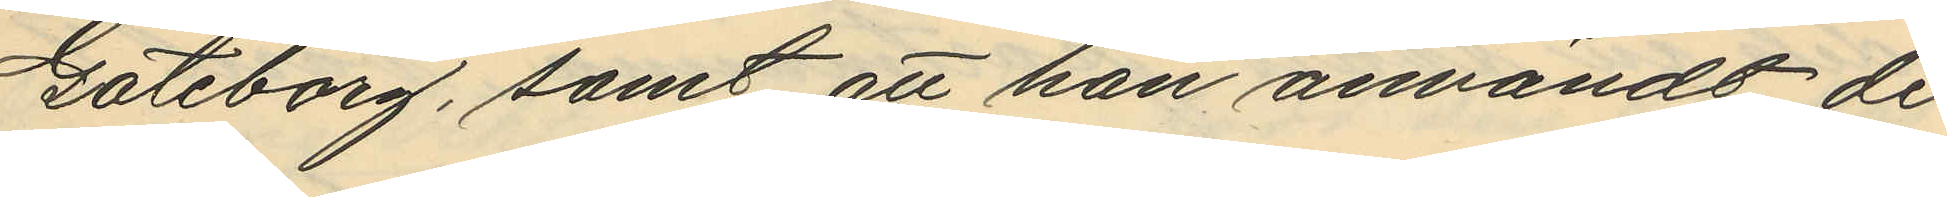Göteborg, samt att han användt de
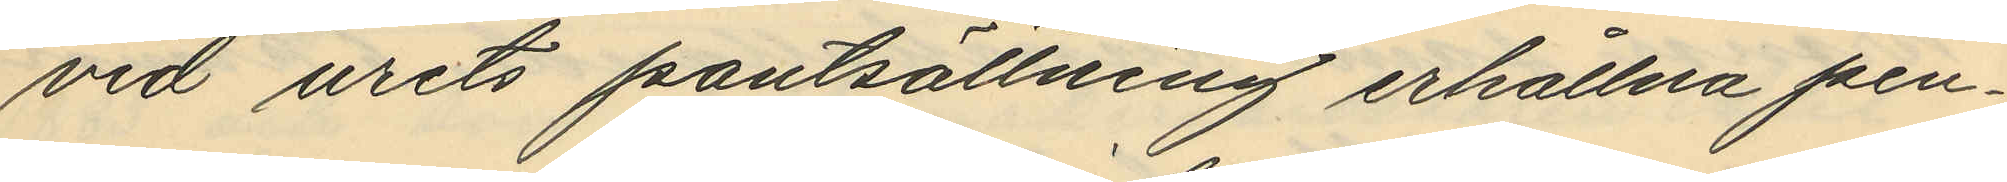vid urets pantsättning erhållna pen¬
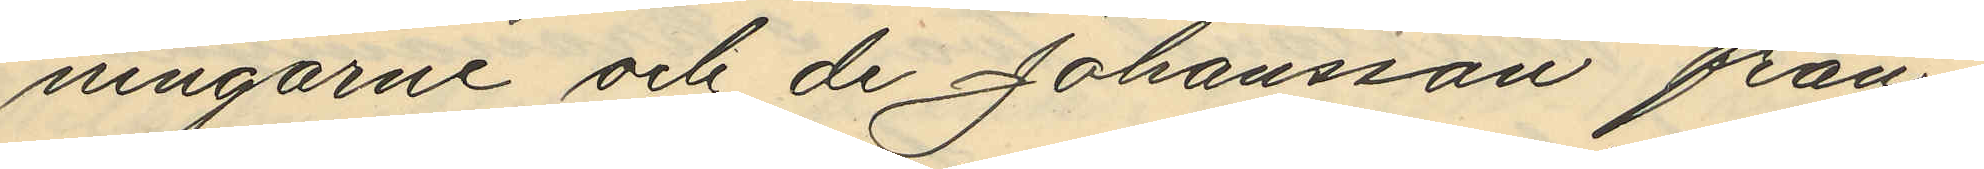ningarne och de Johansson från¬
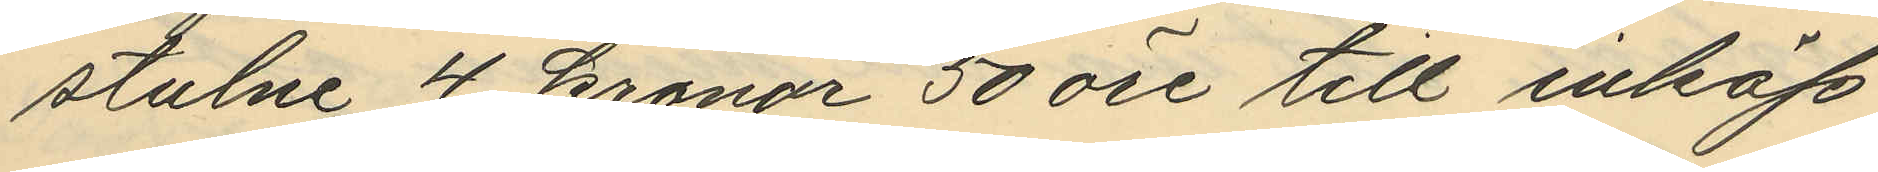stulne 4 kronor 50 öre till inköp
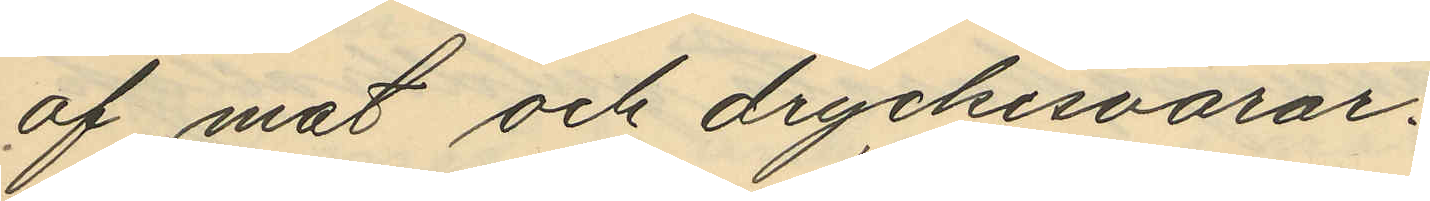af mat och dryckesvaror.
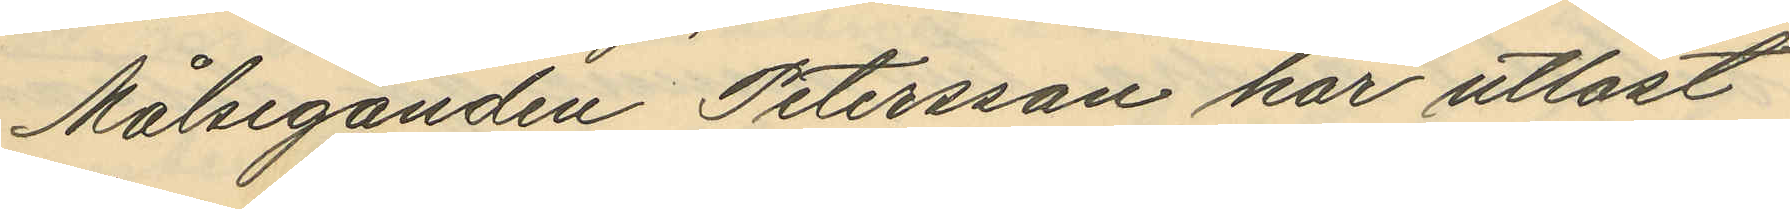Målseganden Petersson har utlöst
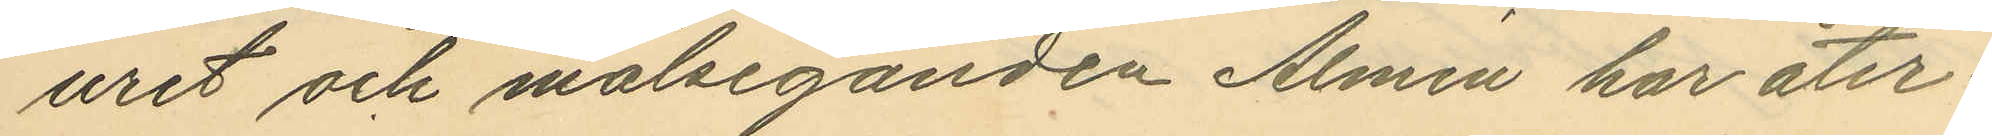uret och målseganden Almén har åter¬
